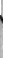Bokhållaren Alexander Stragons dotter
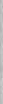Maria på sitt 12 åhr, inkom och bekende,
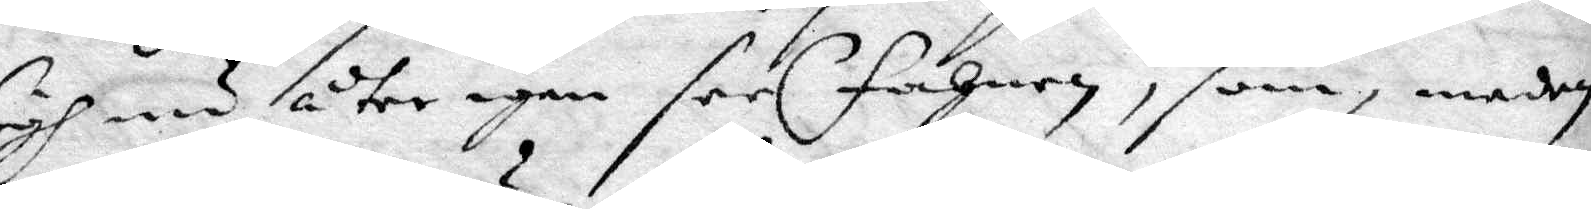sigh nu åter igen sees fahnen, som, medan
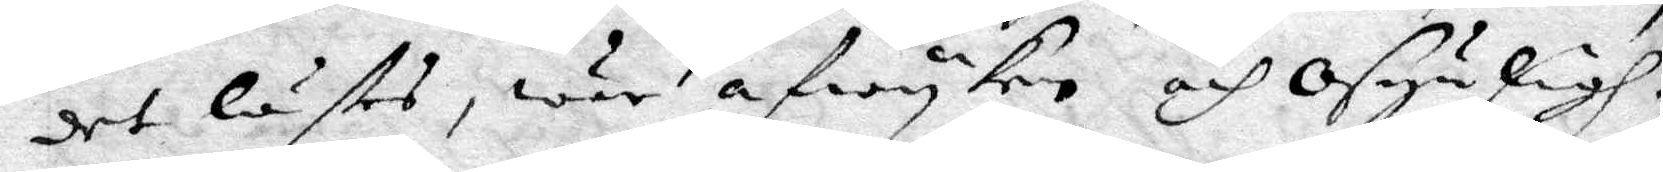det lästes, war afwyken och osynligh.
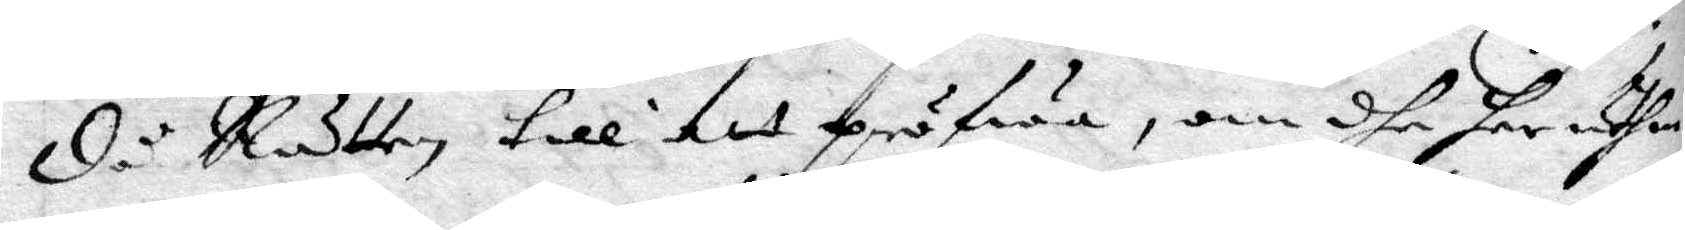då Rätten till att pröfwa, om dhe her uthan
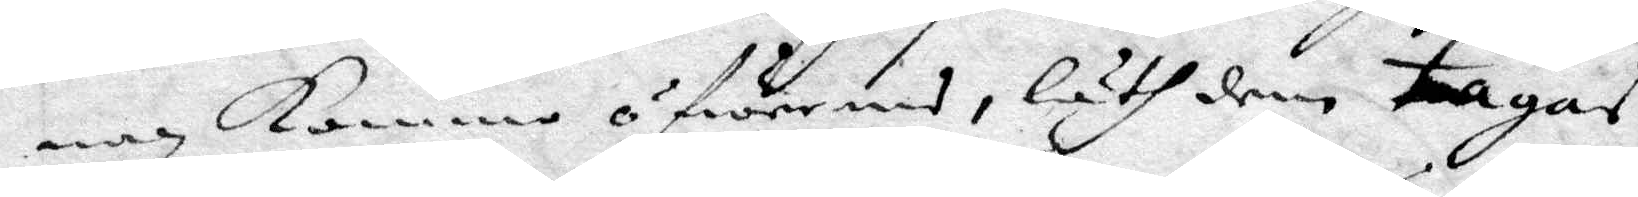nan kommo öfwers, läth dem tagas
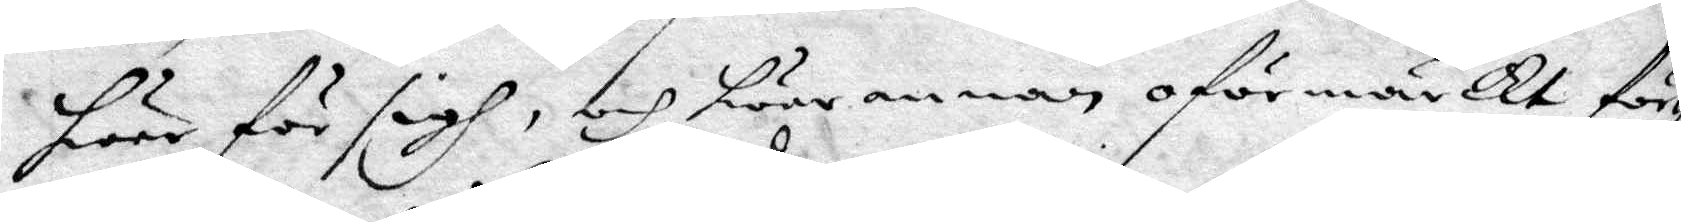hwar för sigh, och hwar annan oförmärckt för¬
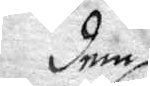den
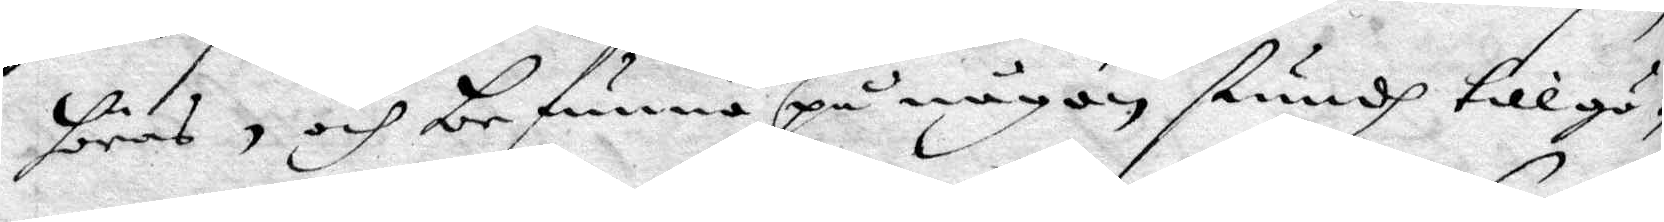höras, och befunna på någon stundh tillgå¬
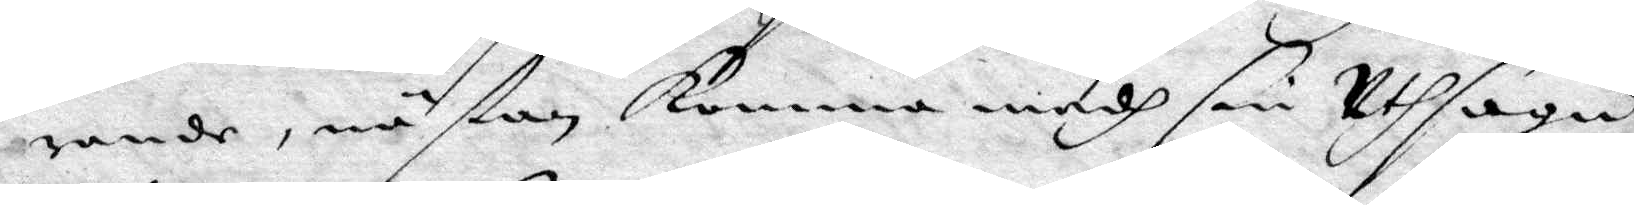rande, nästan komma medh sin Uthsaga,
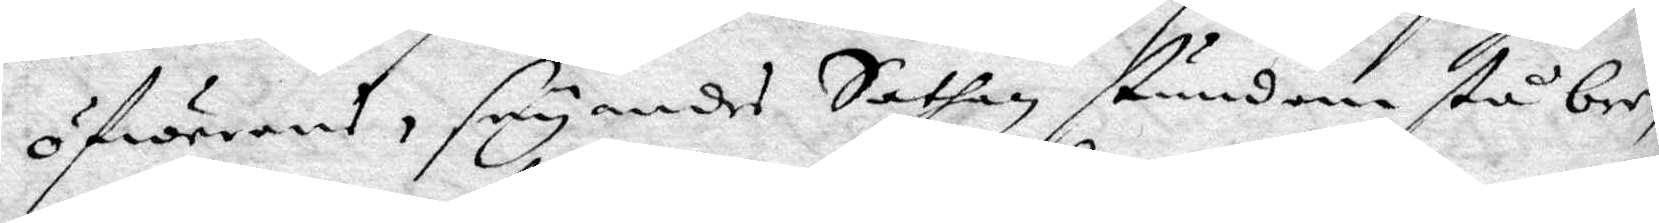öfwerens, säyandes Sathan stundom stå be¬
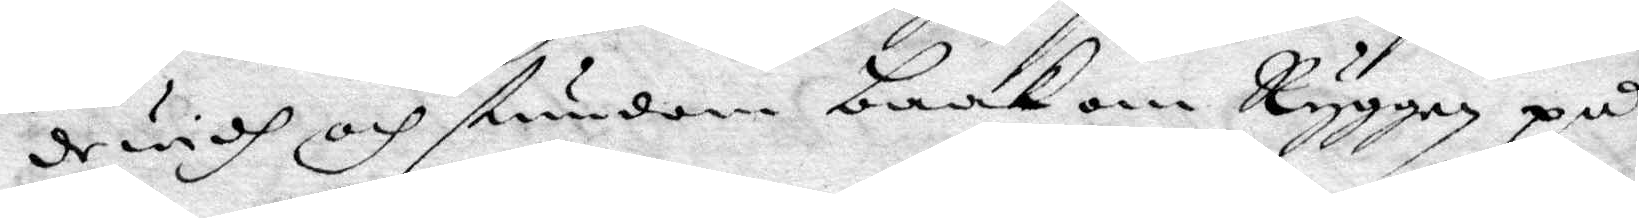widh och stundom baak om Ryggen på
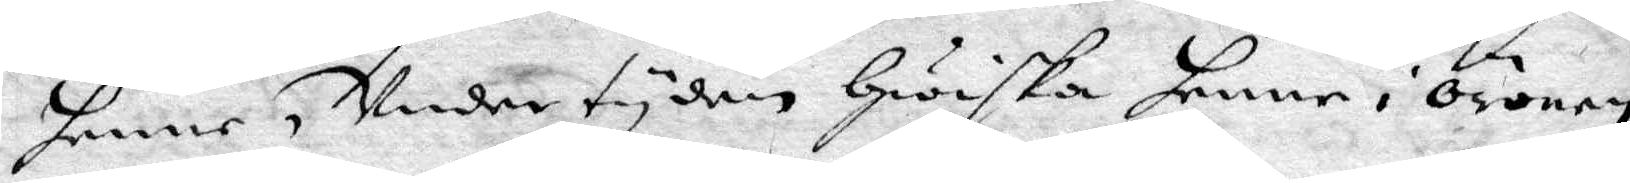henne, Under tyden Hwiska henne i Öronen
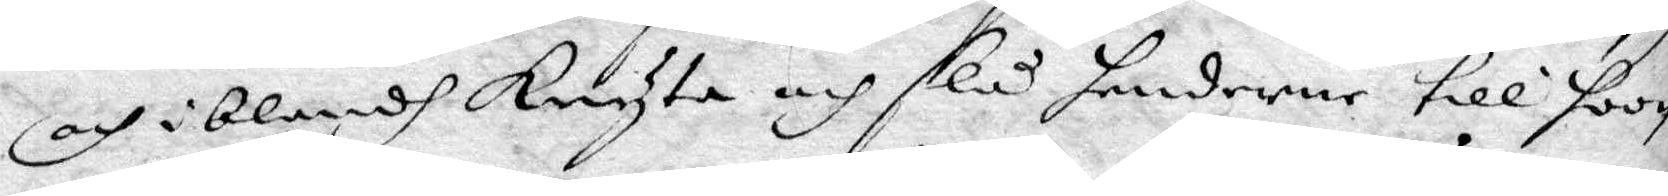och iblandh Knyta och slå henderne till hoon
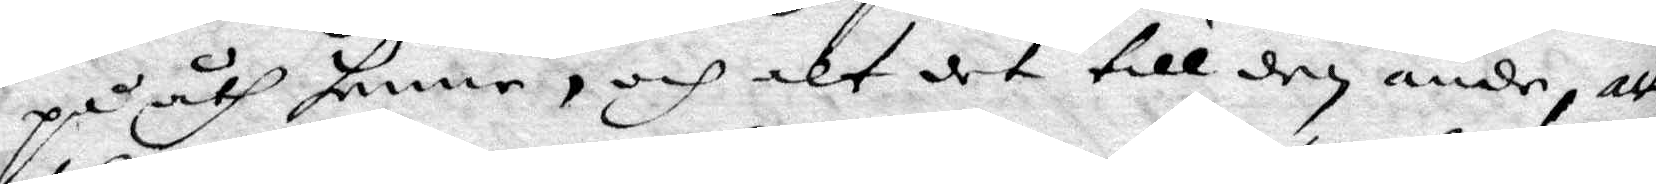på åth henne, och alt det till den ände, att
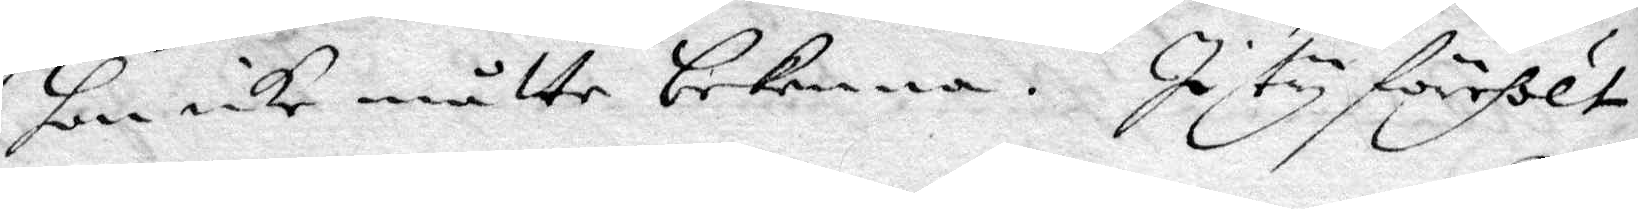hon icke måtte bekenna. I ty förehölt
